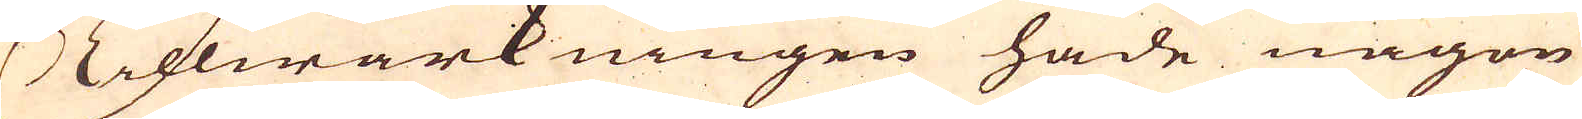Tillwärkningen hade någon
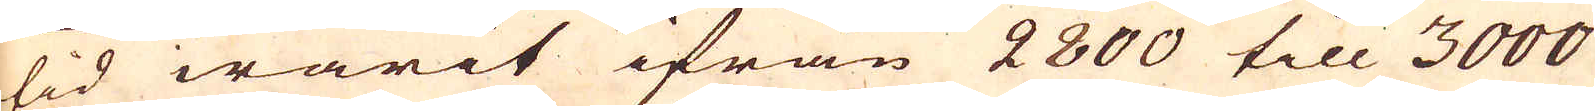tid warit ifrån 2800 till 3000
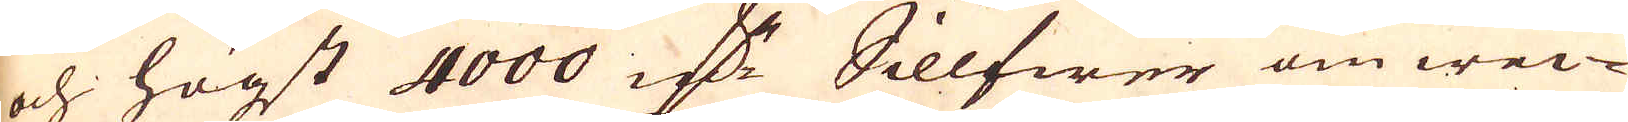och högst 4000 marker Sillfwer om wec-
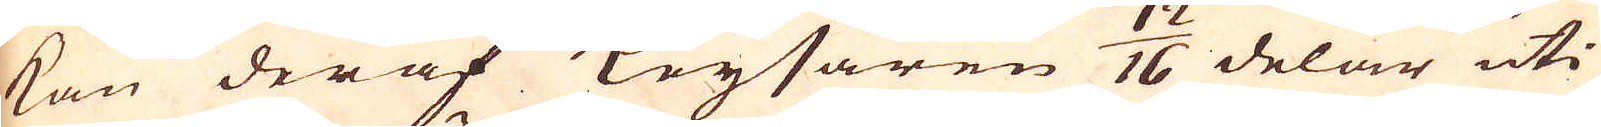kan deraf Keysaren 12/16 delar uti
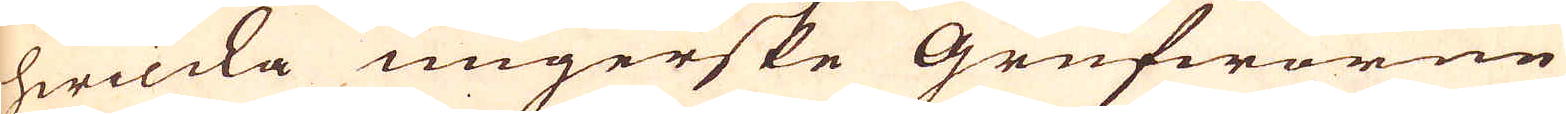hwilcka ungerske Grufworne
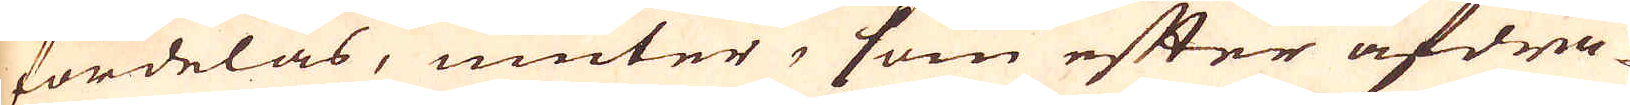fördelas, niuter, som efter afdra-
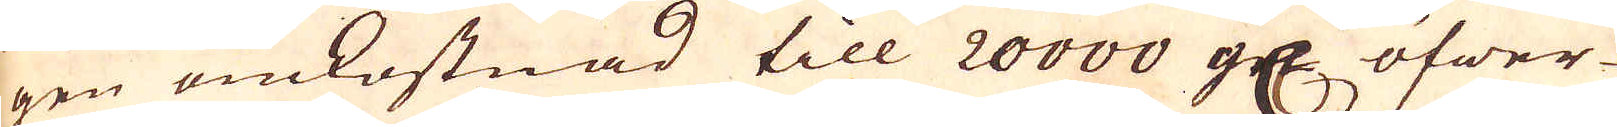gen omkostnad till 20000 grs öfwer-
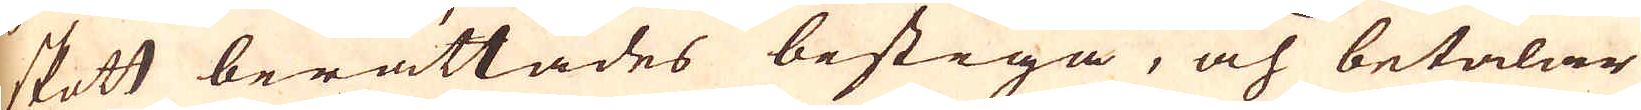skott berättades bestiga, och betalar
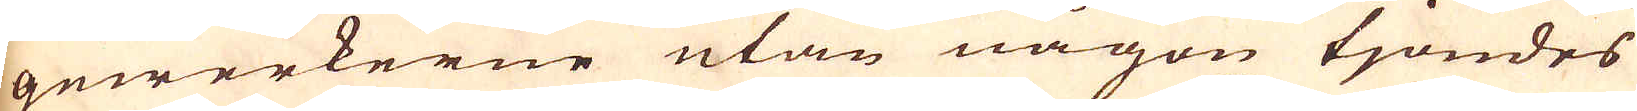gewerkerne utan någon tjondes
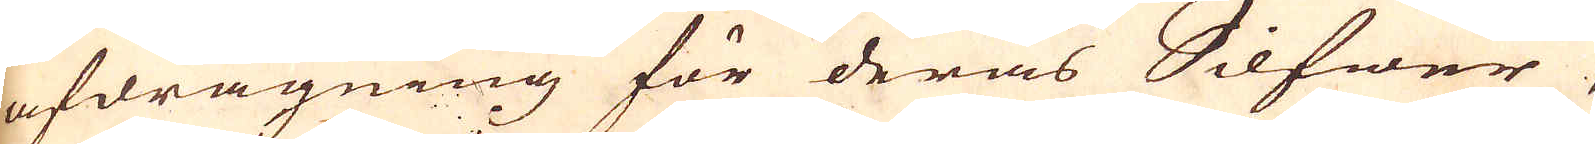afdragning för deras Silfwer,
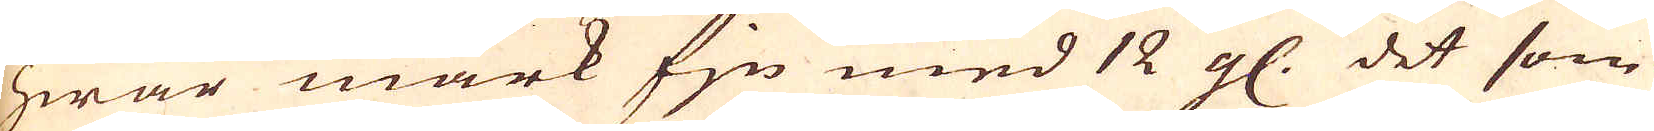hwar mark fin med 12 gl. det som
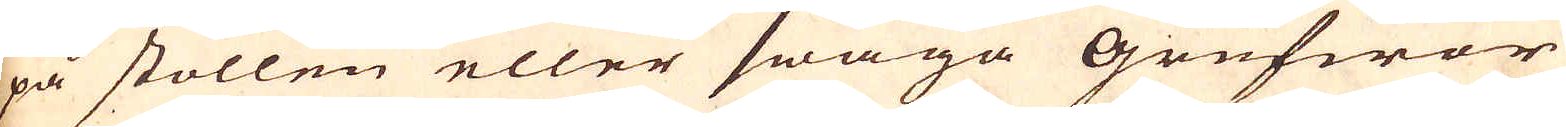på stollen eller swaga Grufwor
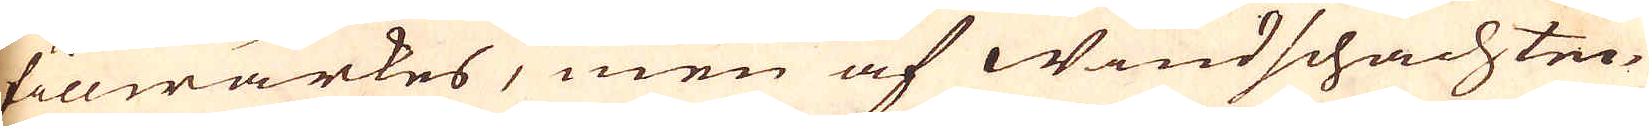tillwärkes, men af windschachten
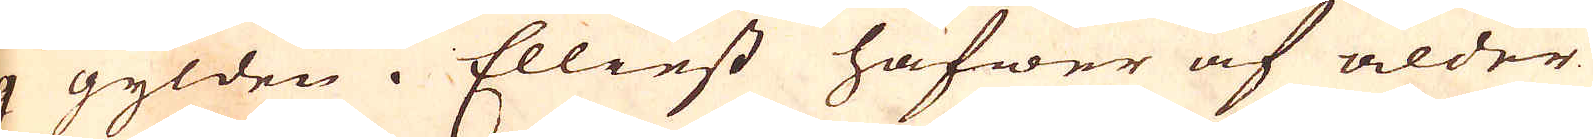9  gylden. Elliest hafwer af ålder
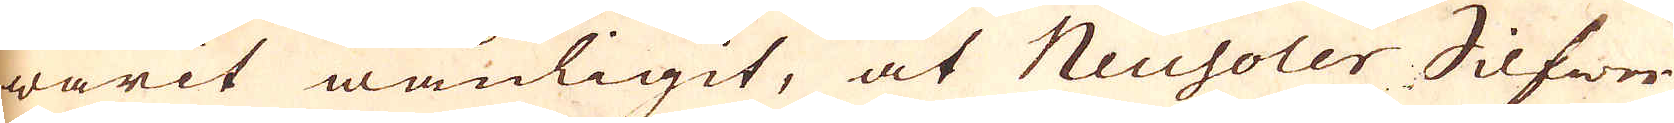warit wanligit, at Neusoler Silfwer
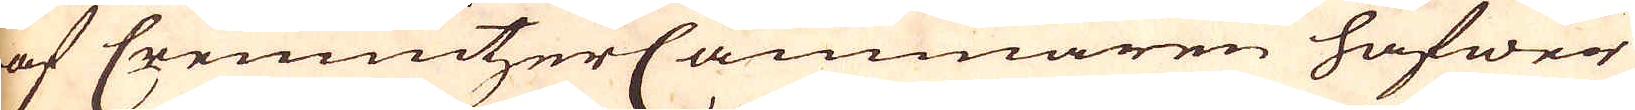af CremintzerCammaren hafwer
